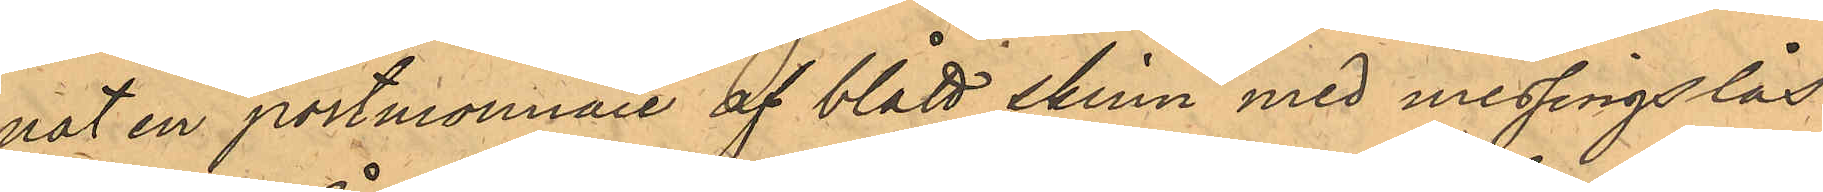nat en portmonnaie af blått skinn med messingslås
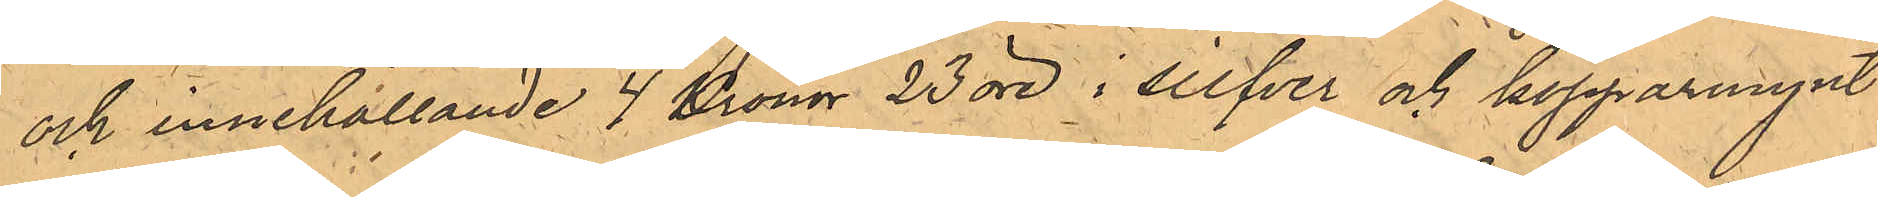och innehållande 4 Kronor 23 öre i silver och kopparmynt
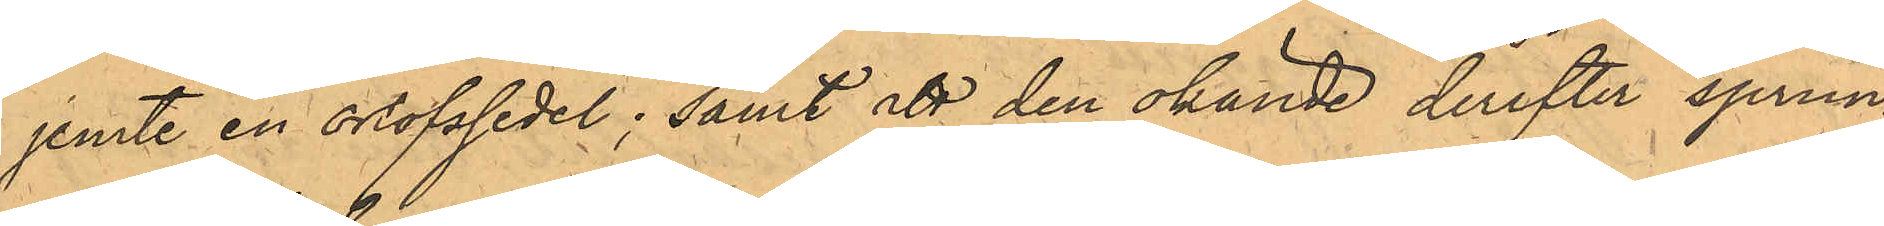jemte en orlofsedel; samt att den okände derefter sprun¬
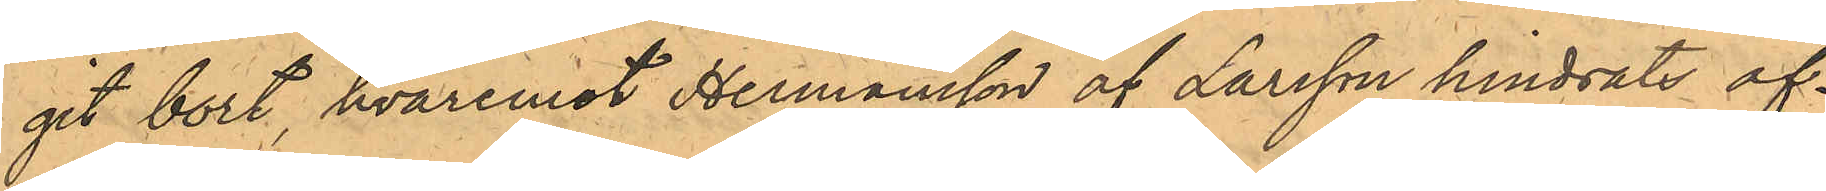git bort, hvaremot Hermansson af Larsson hindrats af¬
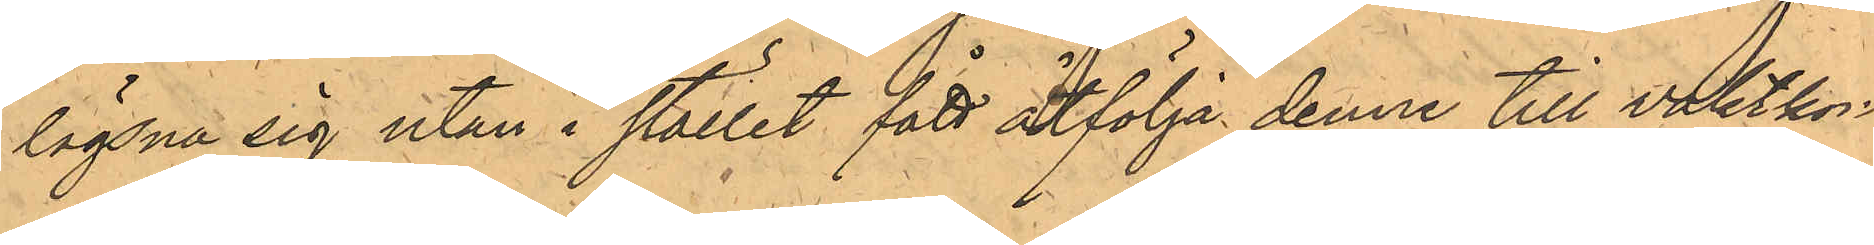lägsna sig utan i stället fått åtfölja denne till vaktkon¬
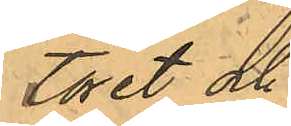toret och
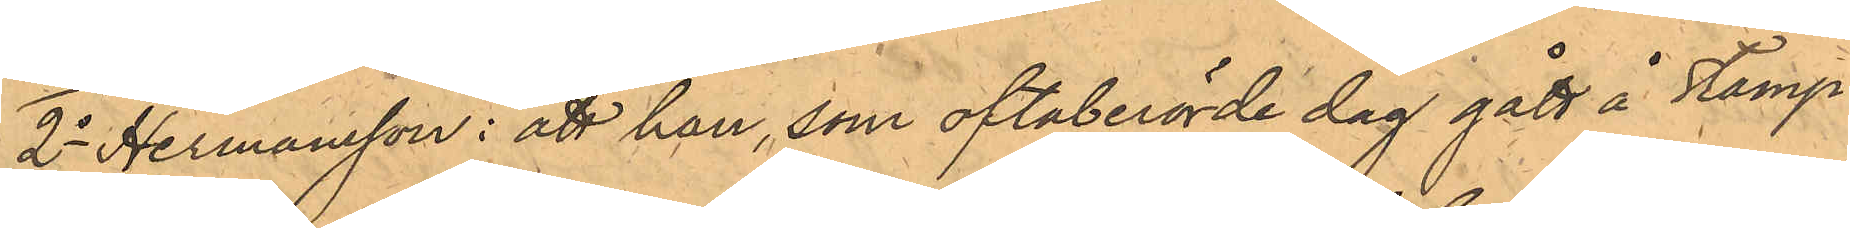2o Hermansson: att han, som oftaberörde dag gått å Stamp¬
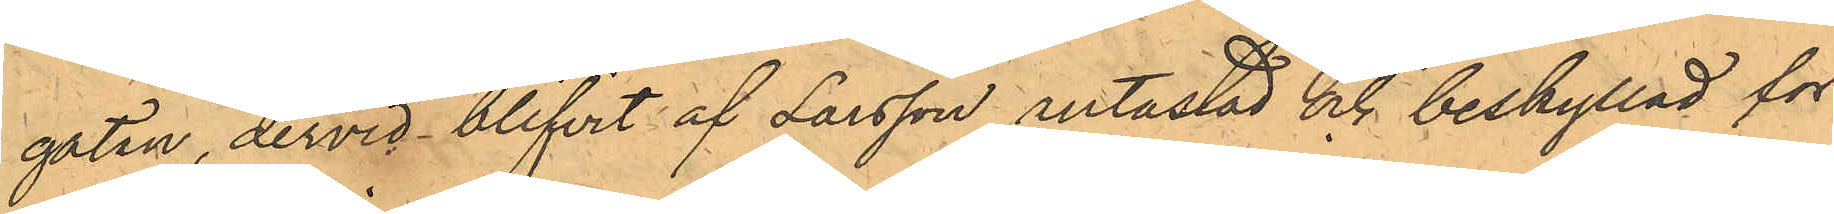gatan, dervid blifvit af Larsson antastad och beskylld för
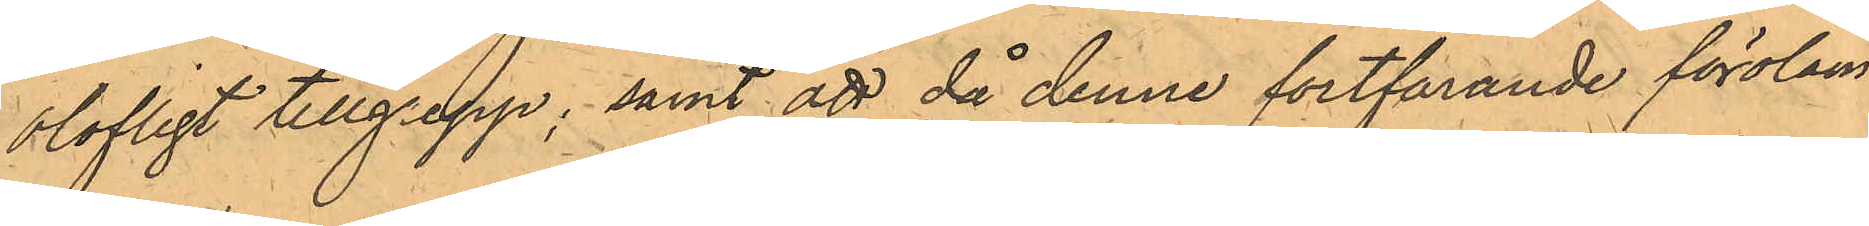olofligt tillgrepp; samt att då denne fortfarande föroläm¬
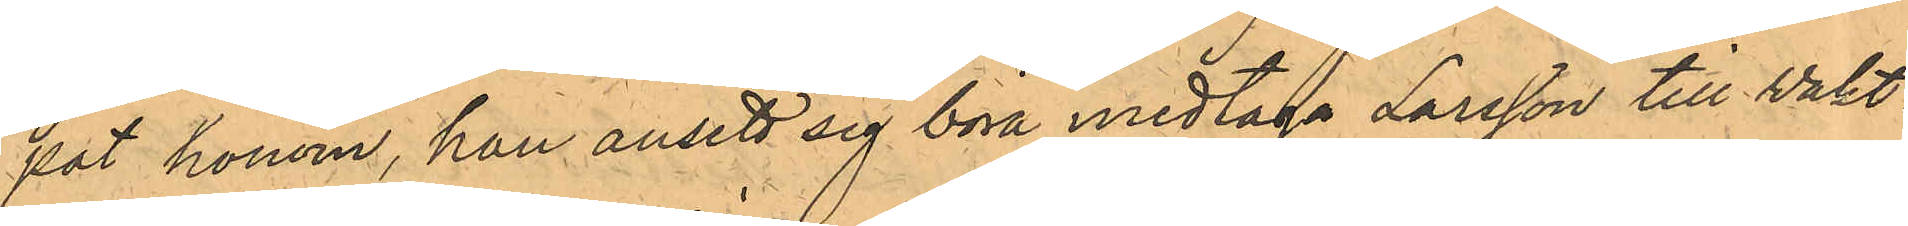pat honom, han ansett sig böra medtaga Larsson till Vakt¬
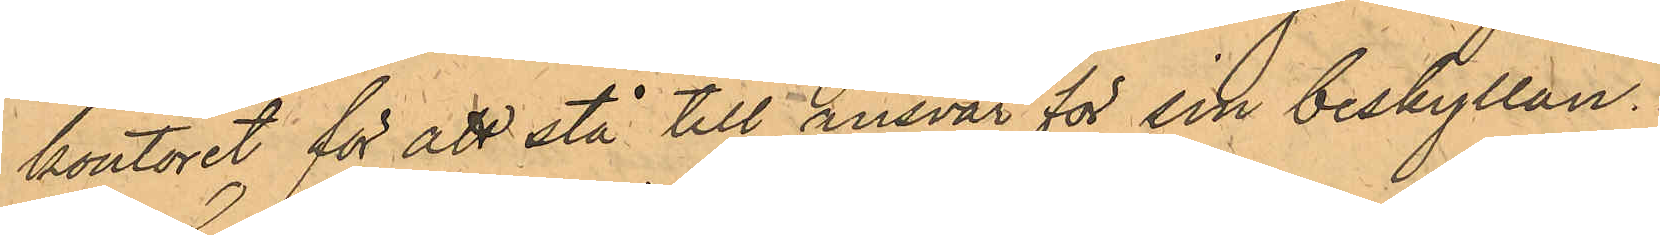kontoret för att stå till ansvar för sin beskyllan.
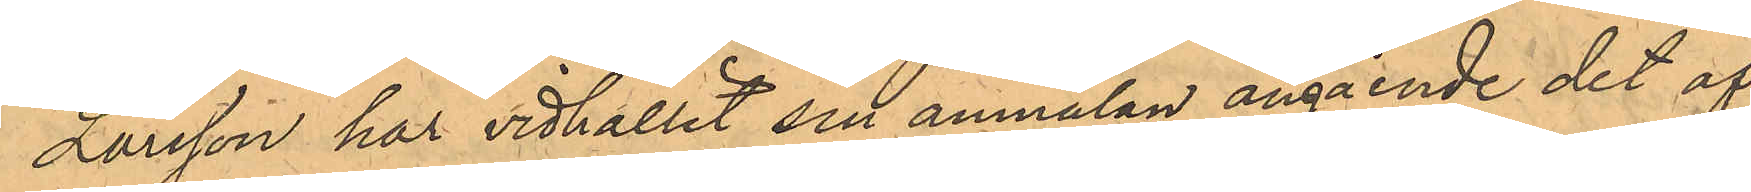Larsson har vidhållit sin anmälan angående det af
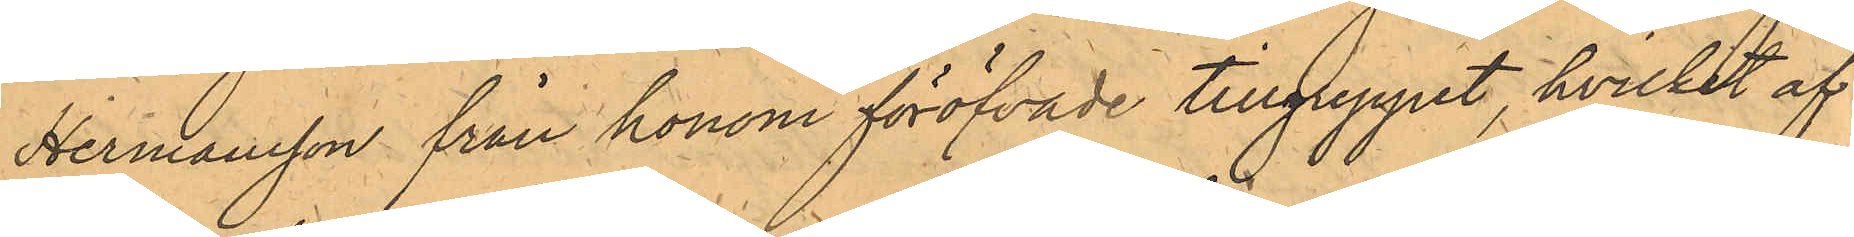Hermansson från honom föröfvande tillgreppet, hvilket af
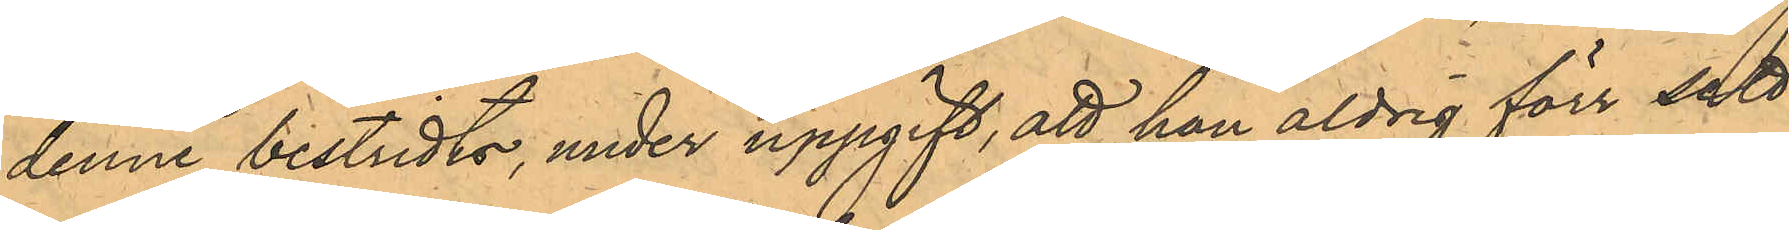denne bestridts, under uppgift, att han aldrig förr sett
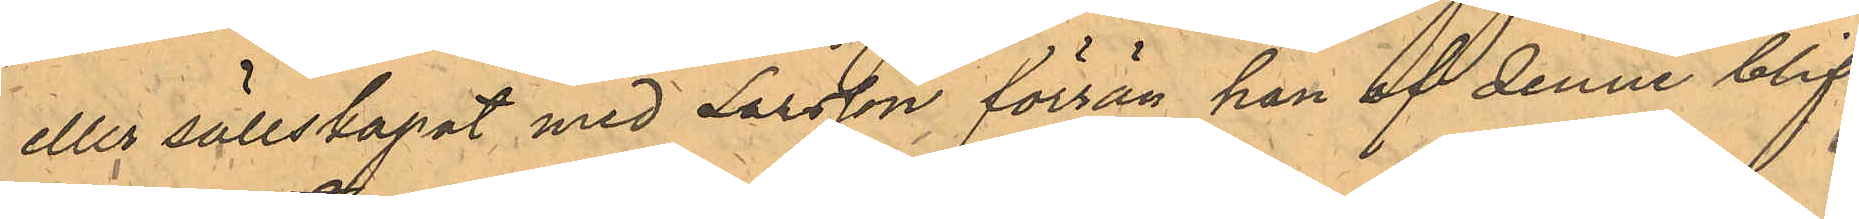eller sällskapat med Larsson förrän han af denne blif¬
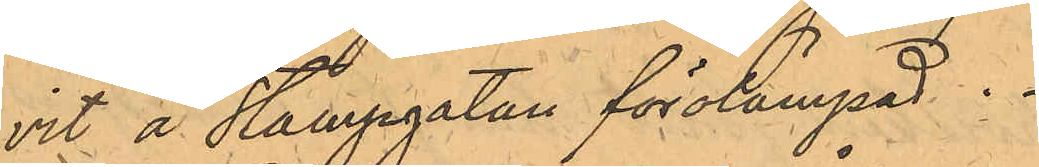vit å Stampgatan förolämpad.
